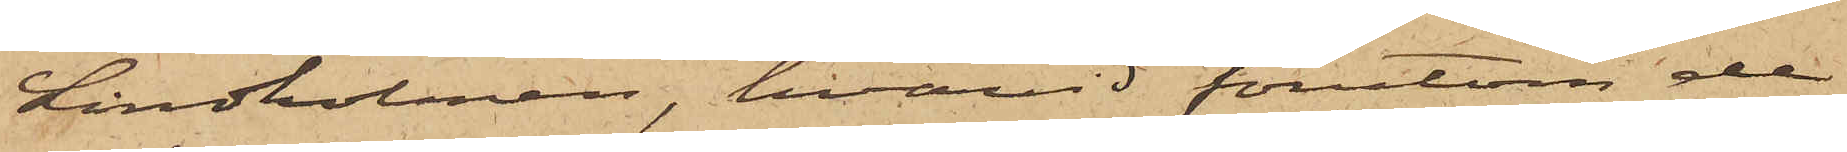Lindholmen, hvarvid förutom de
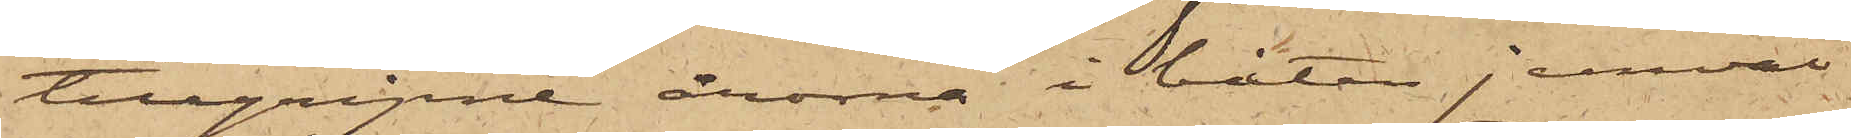tillgripne årorna i båten jemväl
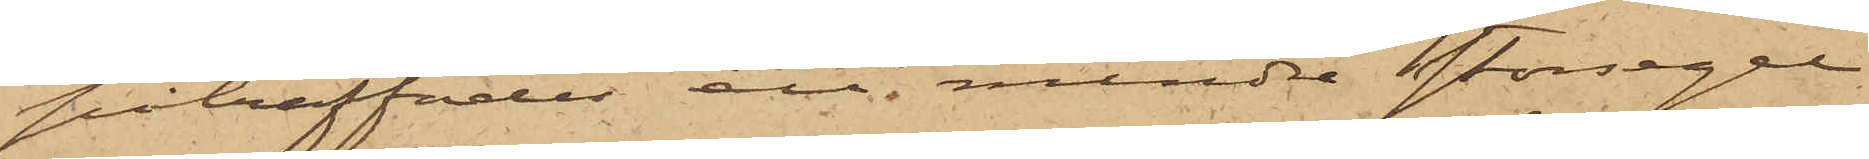påträffades att mindre storsegel
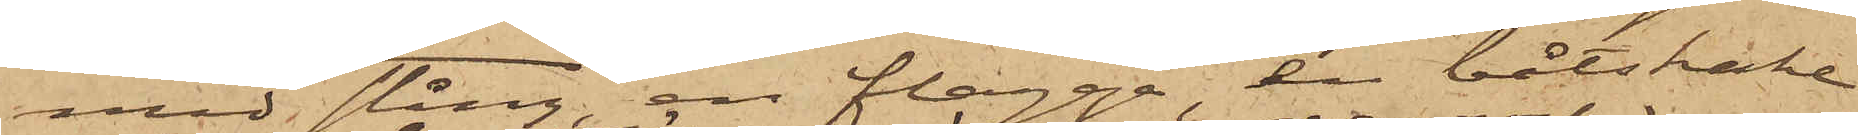med stång, en flagga, en båtshake
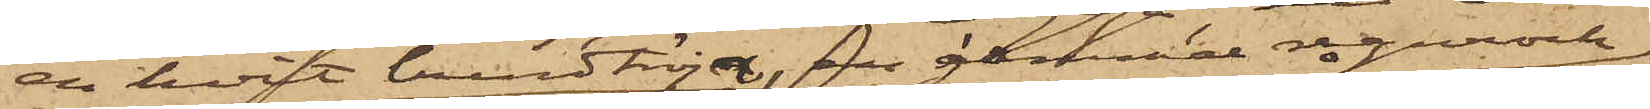en hvit bindtröja, en gammal regnrock
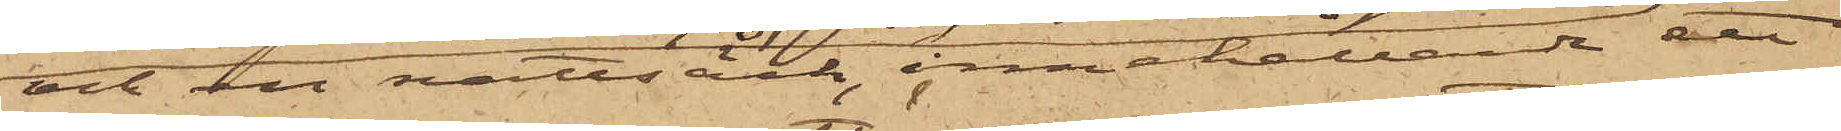och en nattsäck, innehållande ett
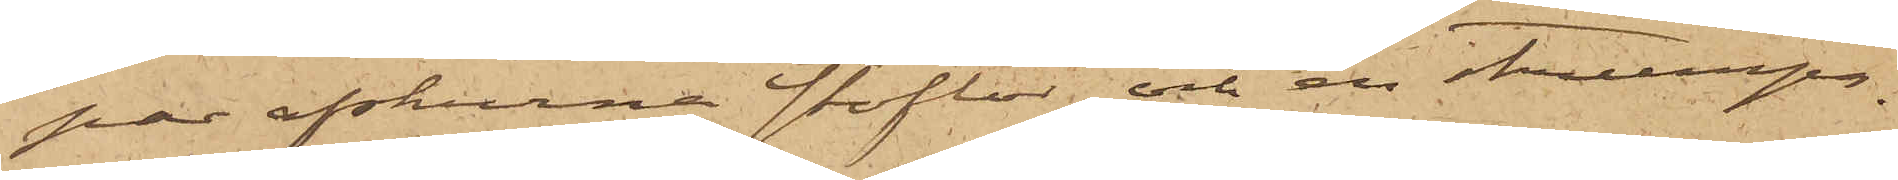par afskurna stöflor och en strumpa.
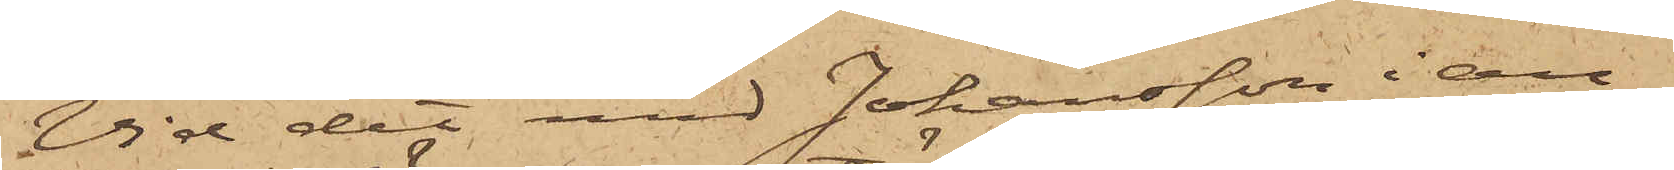Vid det med Johansson i an¬
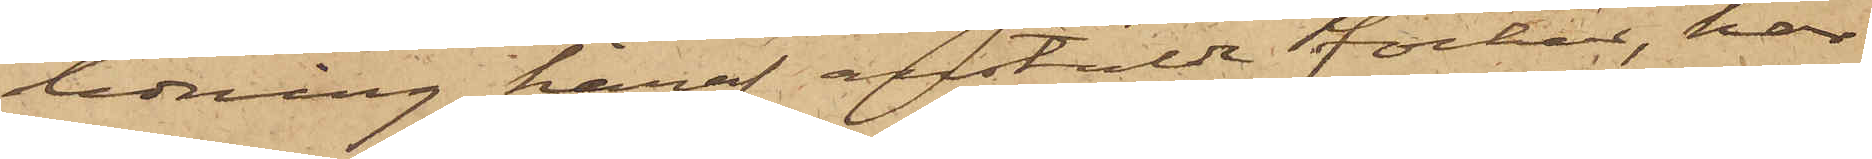ledning häraf anstälde förhör, har
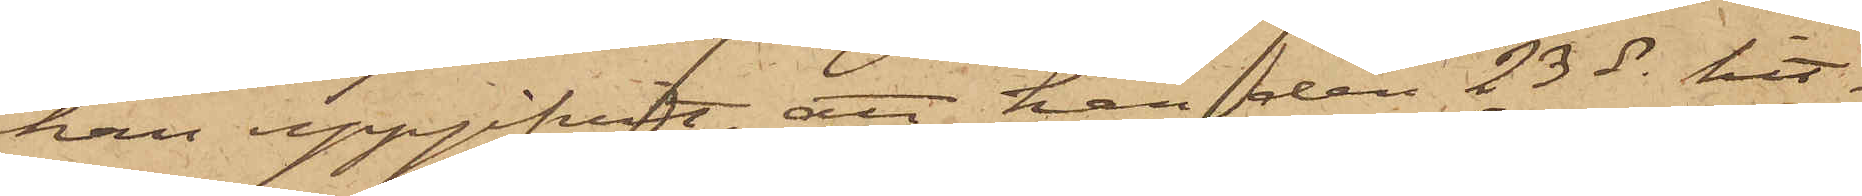han uppgifvit, att han den 23 ds hit¬
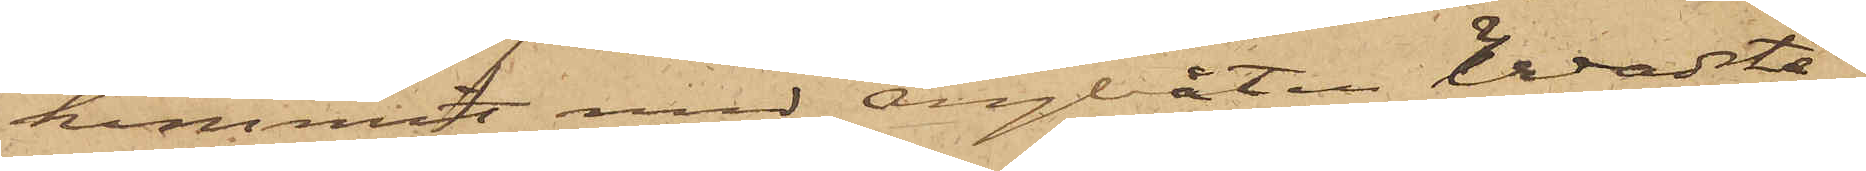kommit med Ångbåten Wadste¬
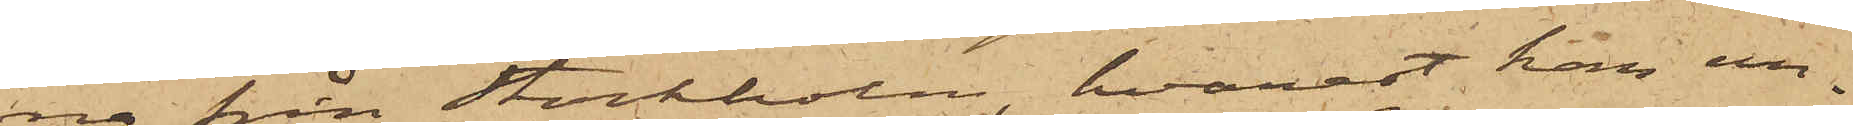na från Stockholm, hvarest han un¬
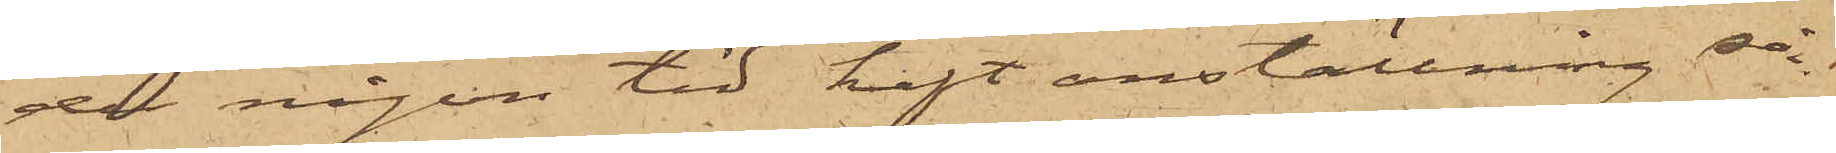der någon tid haft anställning så¬
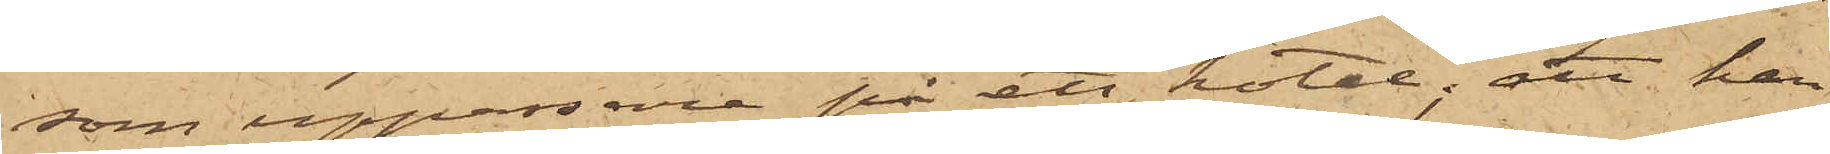som uppassare på ett hotel; att han
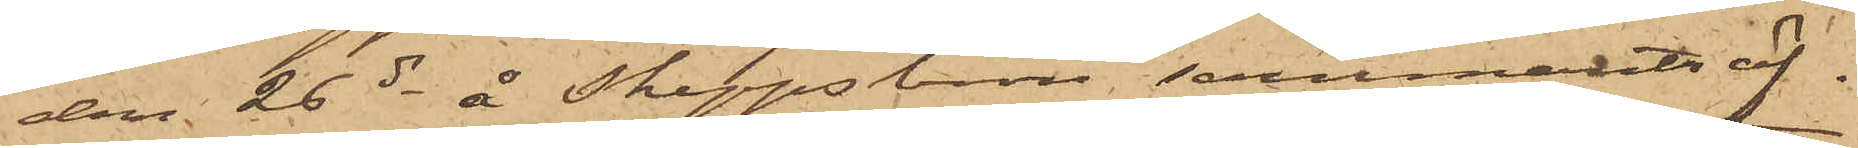den 26 ds å Skeppsbron sammanträf¬
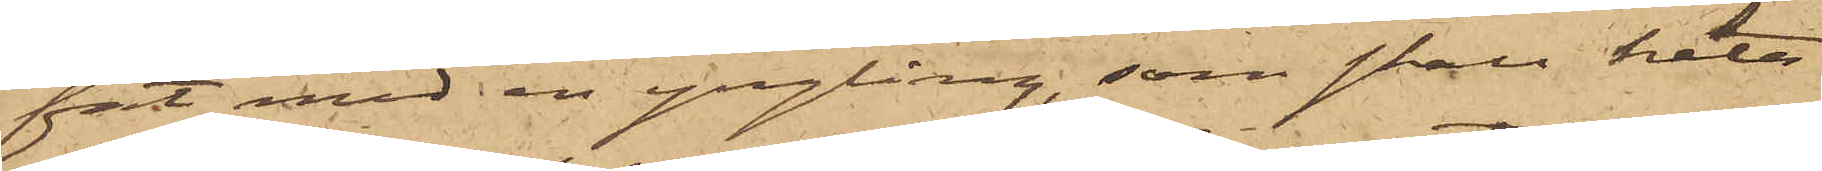fat med en yngling, som skall heta
